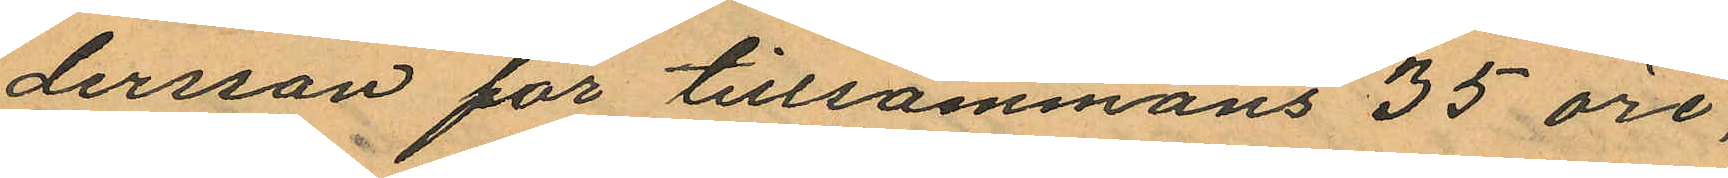dersson för tillsammans 35 öre,
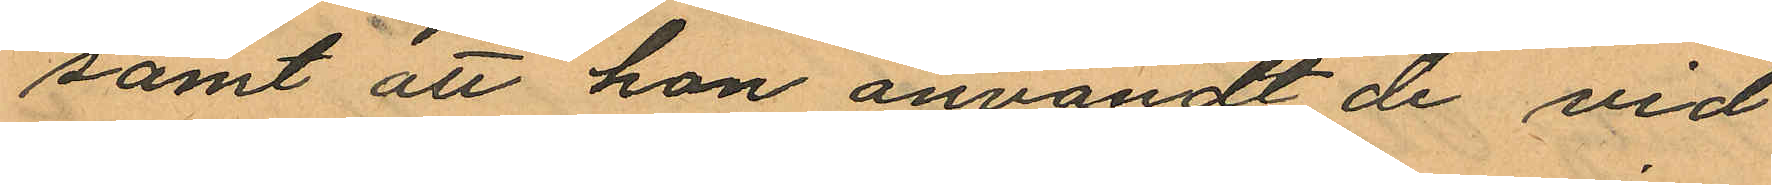samt att hon användt de vid
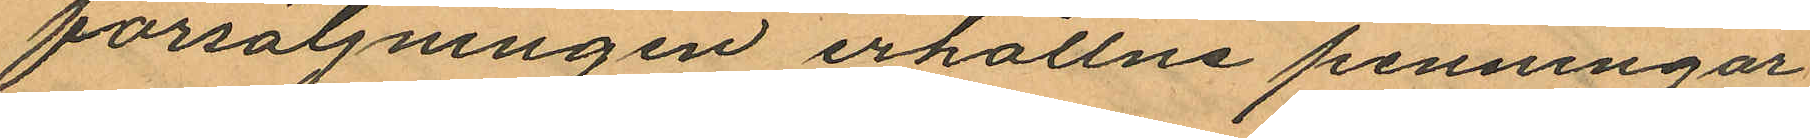försäljningen erhållne penningar
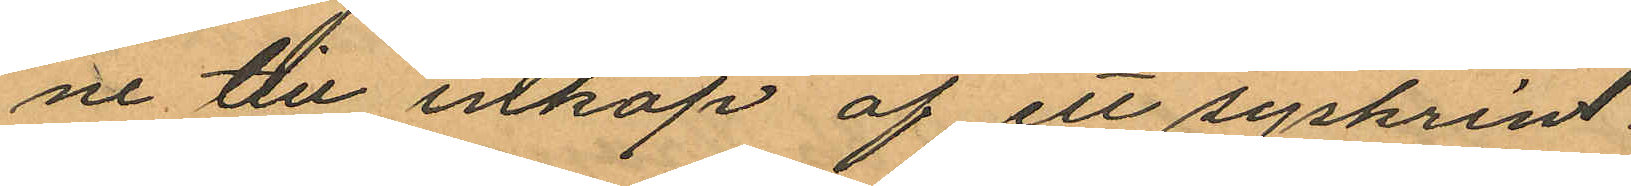ne till inköp af ett syskrin.
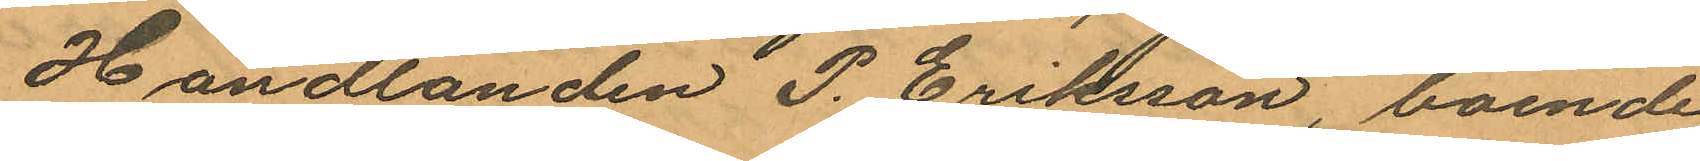Handlanden P. Eriksson, boende
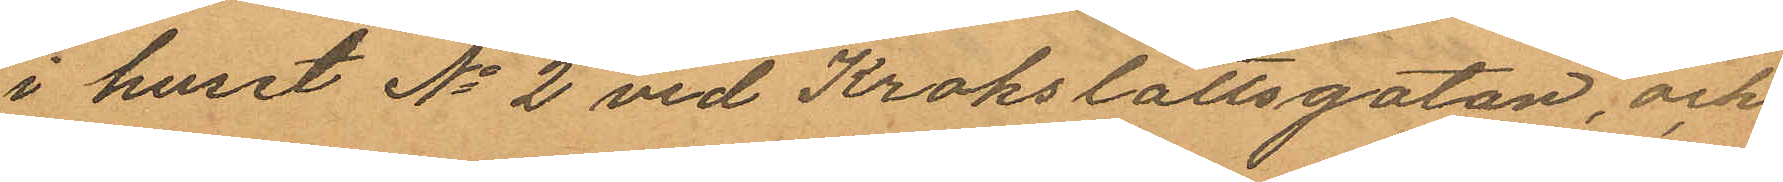i huset No 2 vid Krokslättsgatan, och
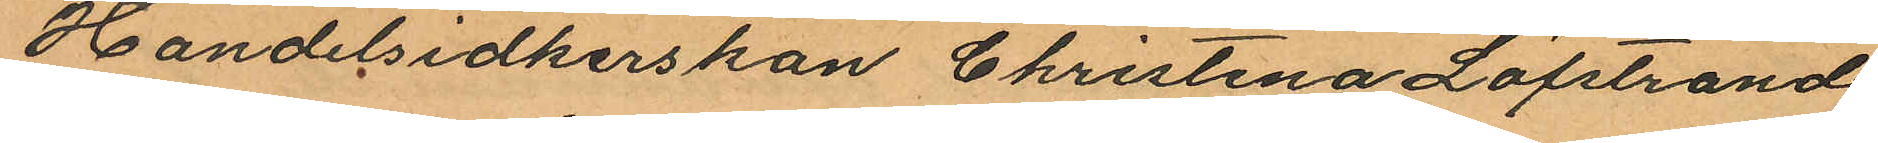Handelsidkerskan Christina Löfstrand
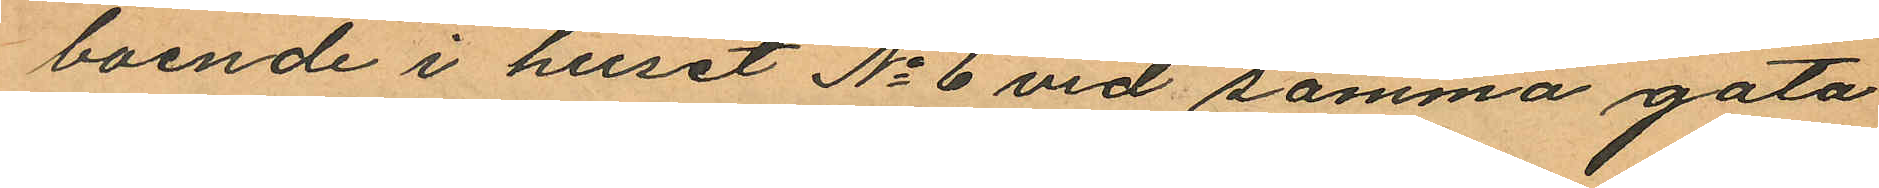boende i huset No 6 vid samma gata
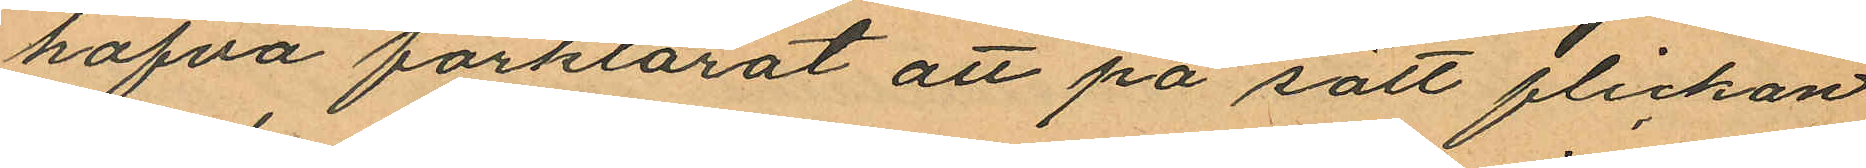hafva förklarat att på sätt flickan
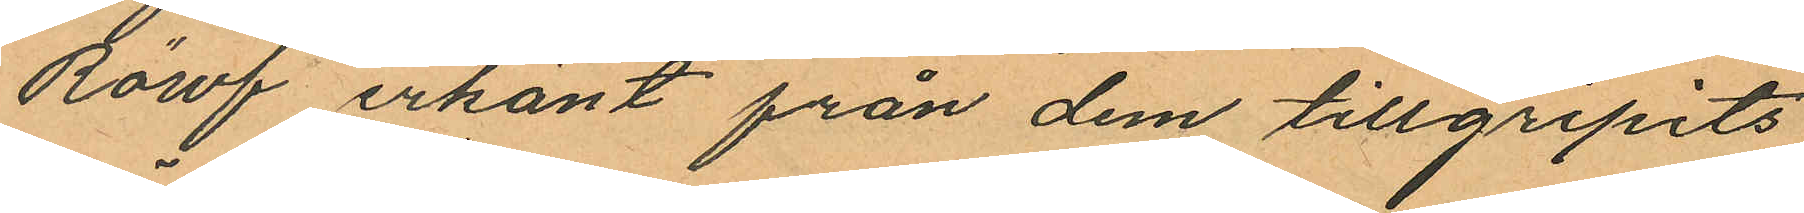Röwf erkänt från dem tillgripits
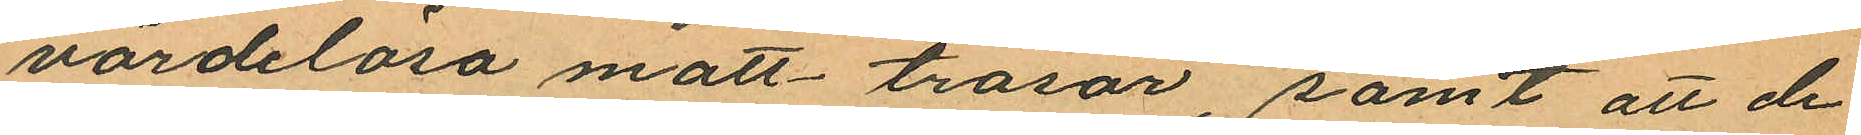värdelösa matt-trasor, samt att de
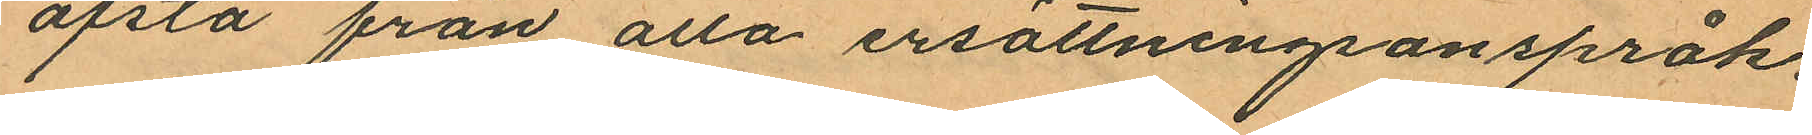afstå från alla ersättninganspråk.
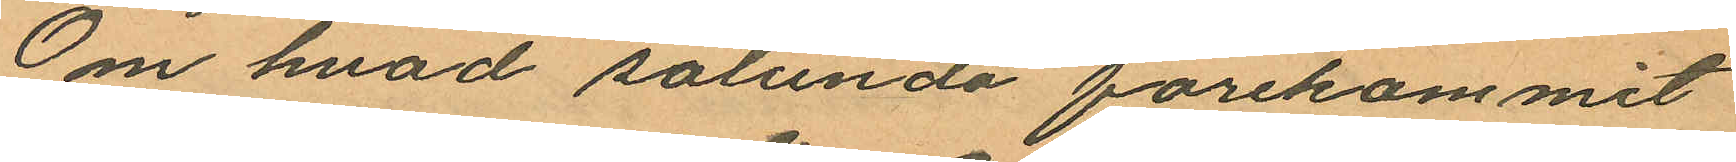Om hvad sålunda förekommit
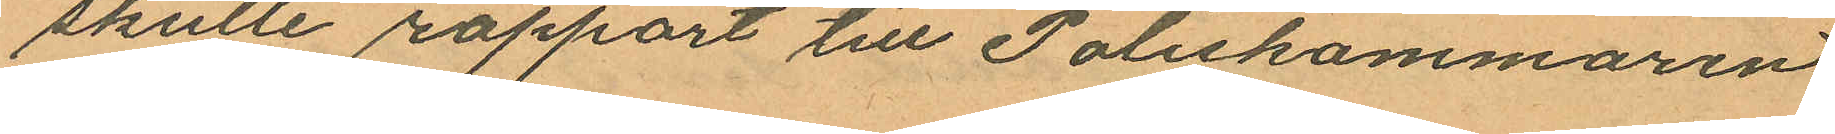skulle rapport till Poliskammaren
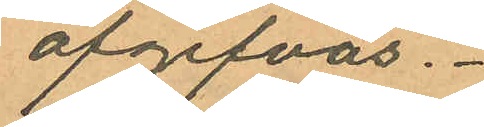afgifvas.
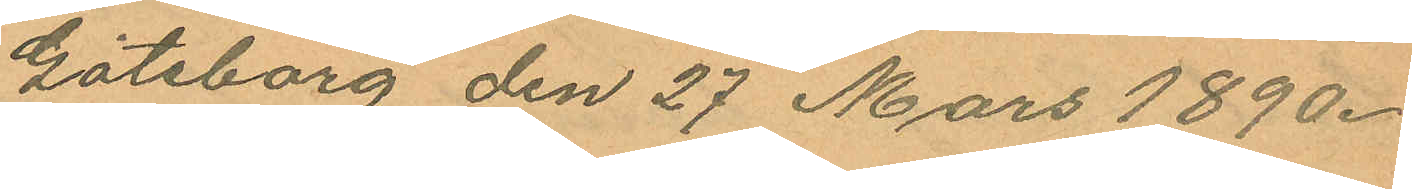Göteborg den 27 Mars 1890.
